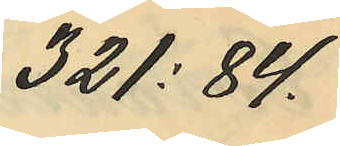321:84.
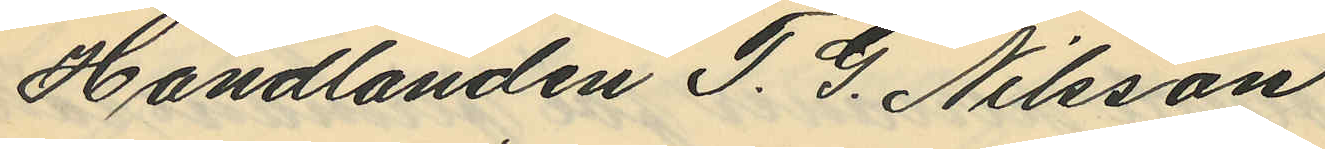Handlanden T. G. Nilsson
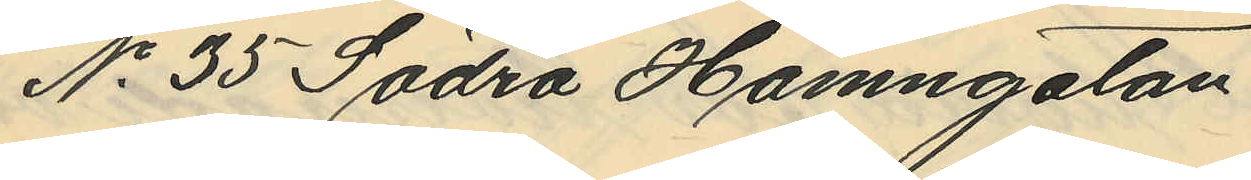No 35 Södra Hamngatan
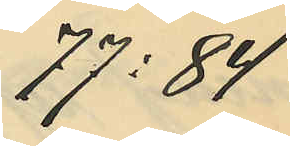77:84
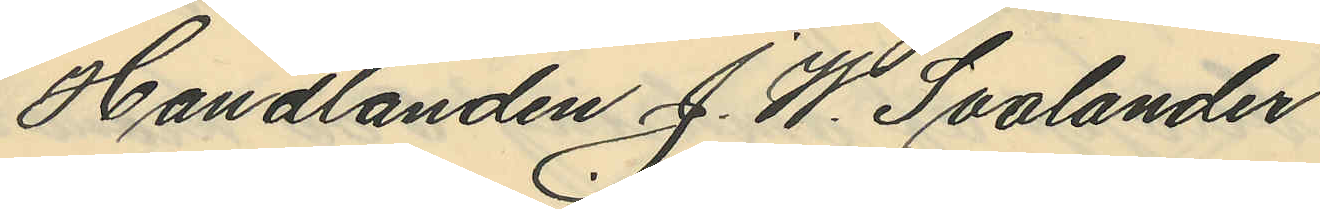Handlanden J. W. Svalander
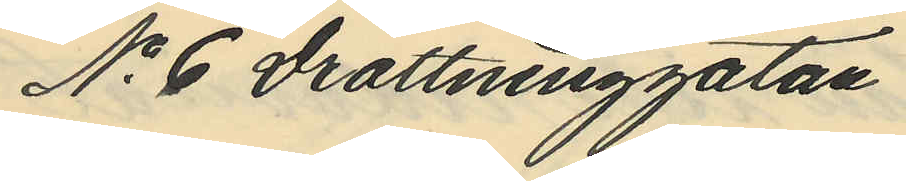No 6 Drottninggatan
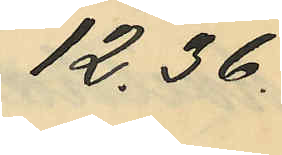12.36.
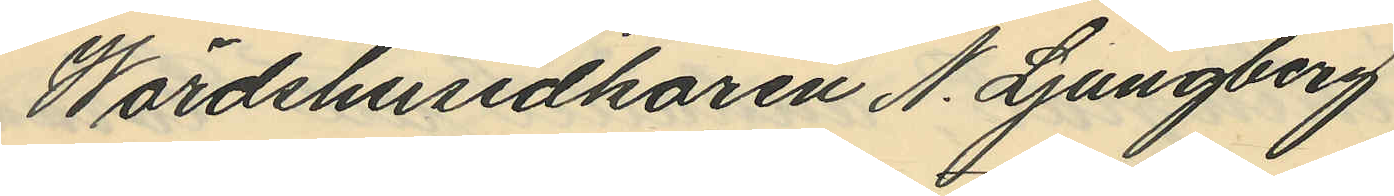Wärdshusidkaren N. Ljungberg
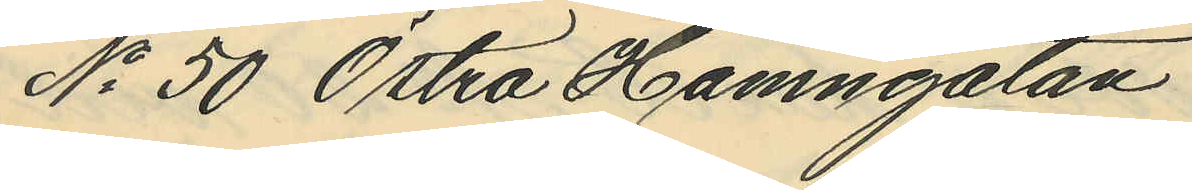No 50 Östra Hamngatan
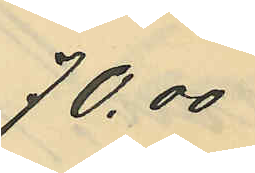70,00
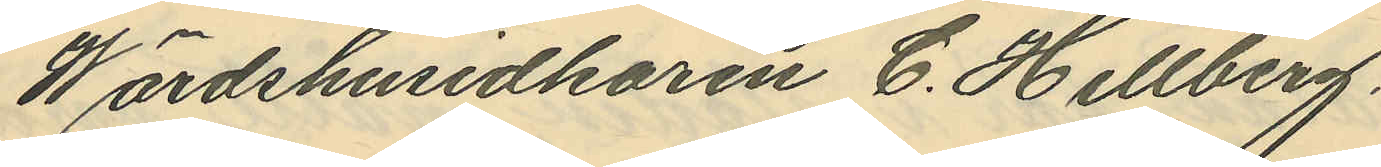Wärdshusidkaren C. Hellberg
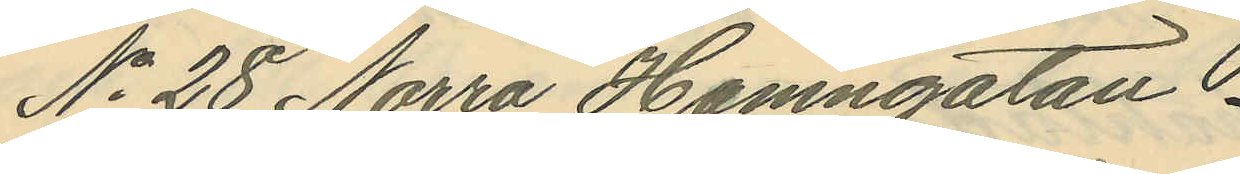No 28 Norra Hamngatan
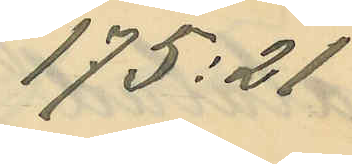175:21
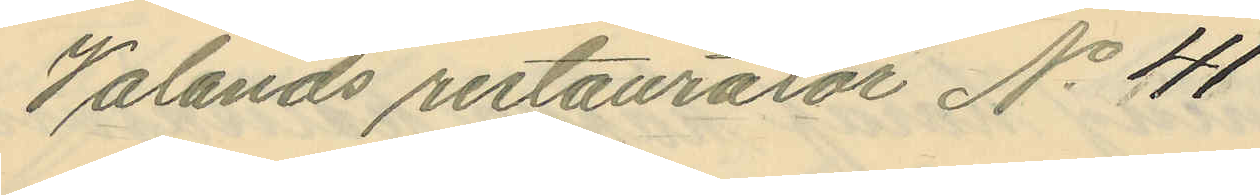Valands restauratör No 41
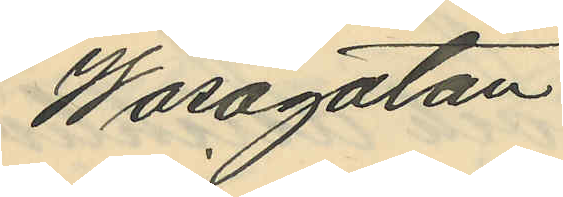Wasagatan
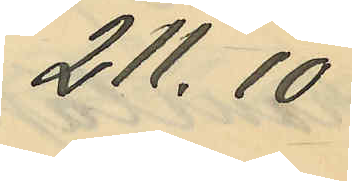211.10
